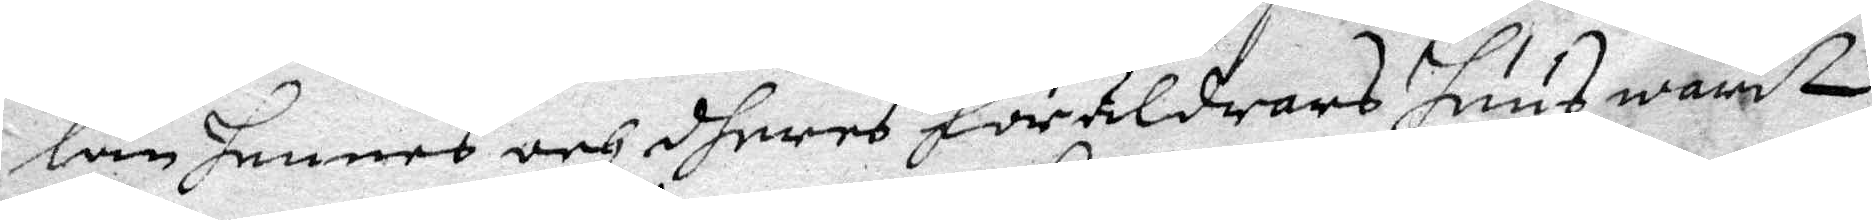lan hennes och dheras Föräldrars huus warit
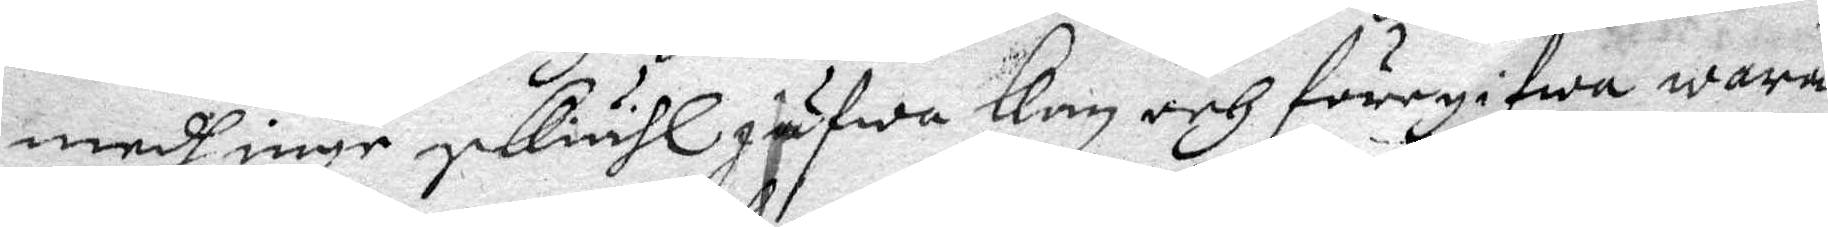medh inga skiähl jäfwa kan och föregifwa wara
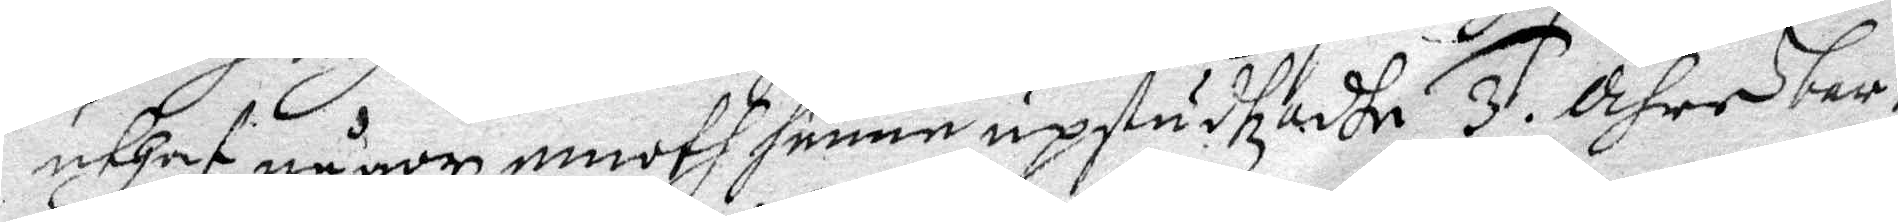uthaf någon emoth henne upstudtzadhe. 3. Ähre bar¬
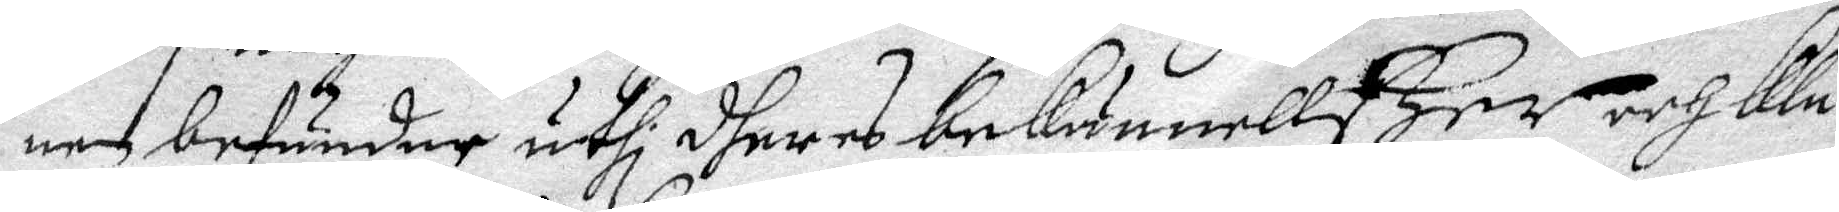nen befunder uthi dheras bekännellßer och kla¬
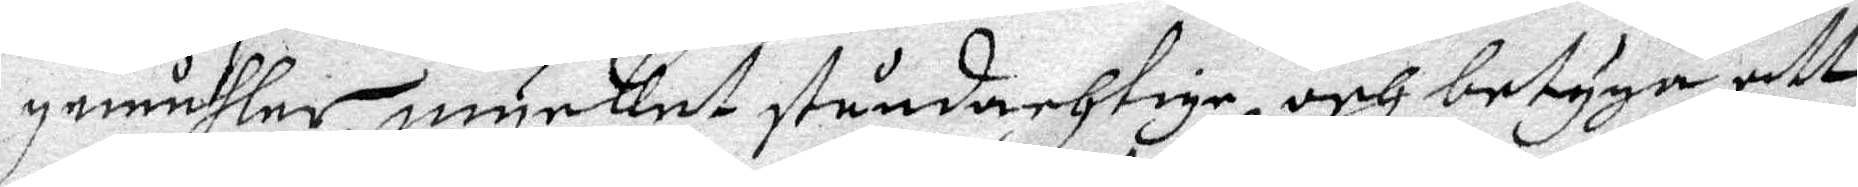gemåhler mycket ståndarhtige, och betyga att
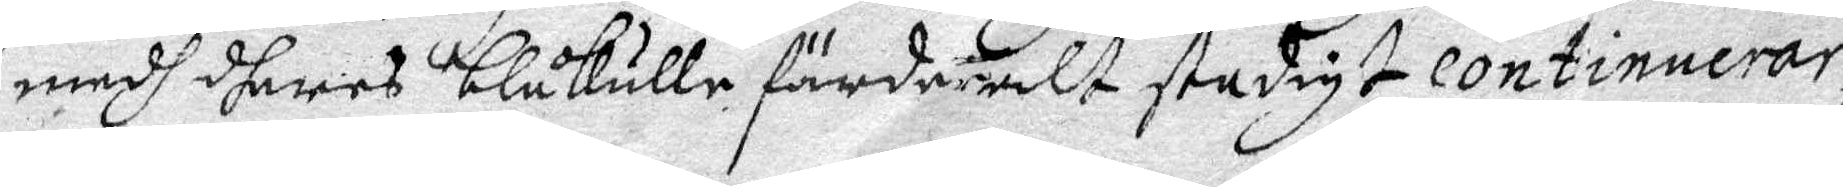medh dheras blåkulla färder alt stadigt continuerar,
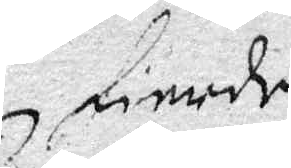fierde
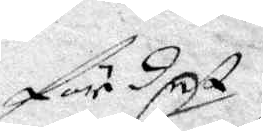för det
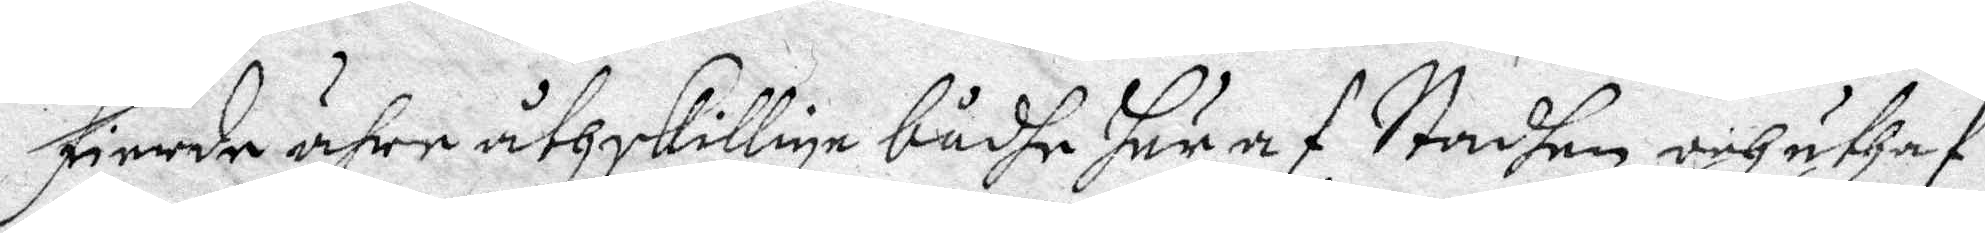fierde ähre åthskillige bådhe här af Stadhen, och uthaf
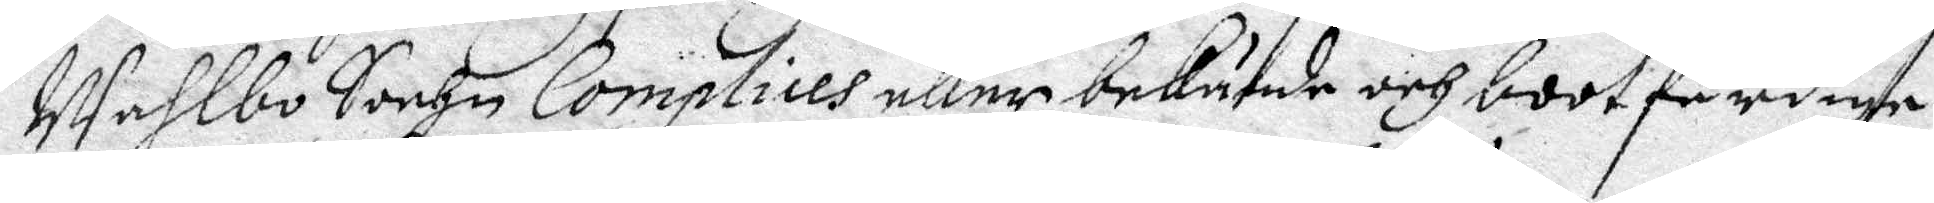Wahlbo Sockn Complices eller bekände och bootfärdige
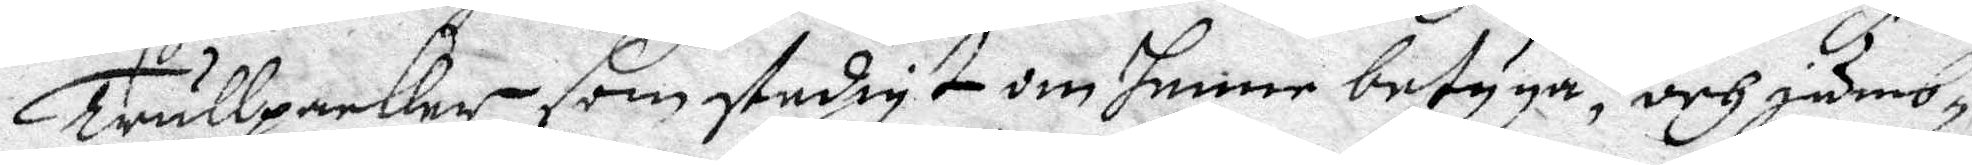Trullpacker som stadigt om henne betyga, och jämb¬
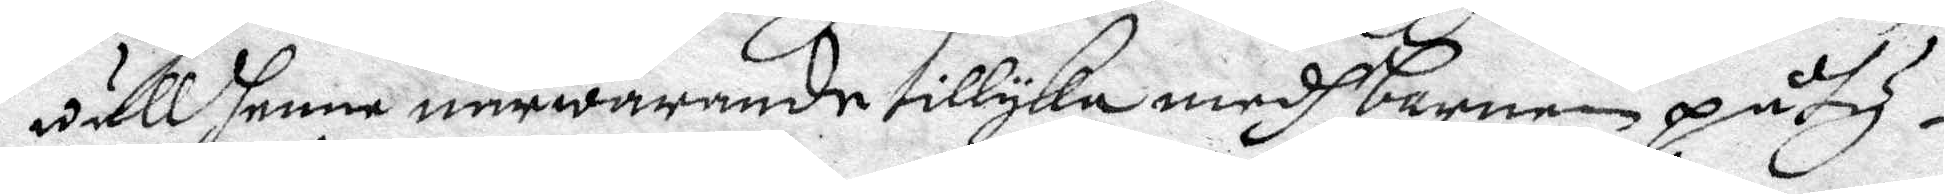wäll henne närwarande tillyka medh barnen påty¬
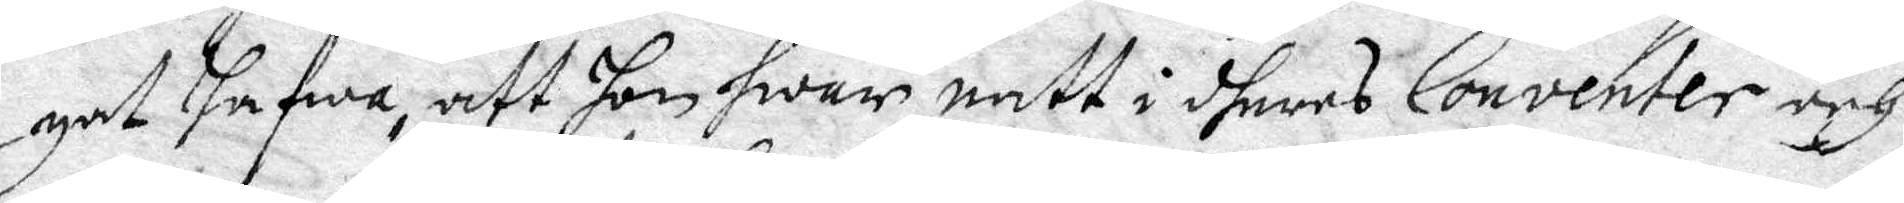gat hafwa, att hon hwar natt i dheras Conventer och
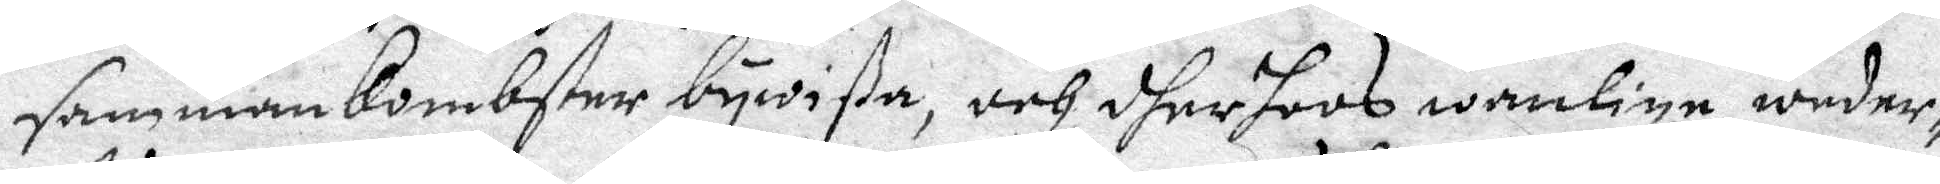sammankombster bewista, och dher hoos wanlige weder¬
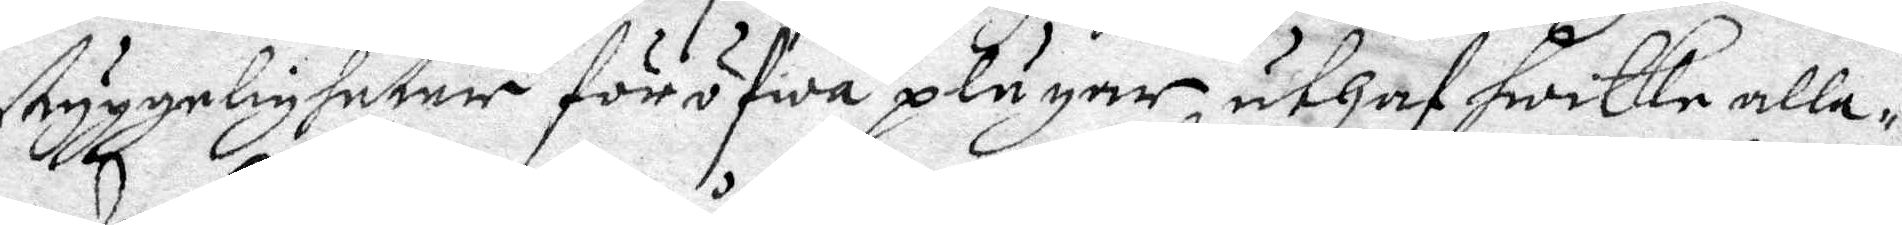styggeligheter föröfwa plägar, uthaf hwilke alle¬
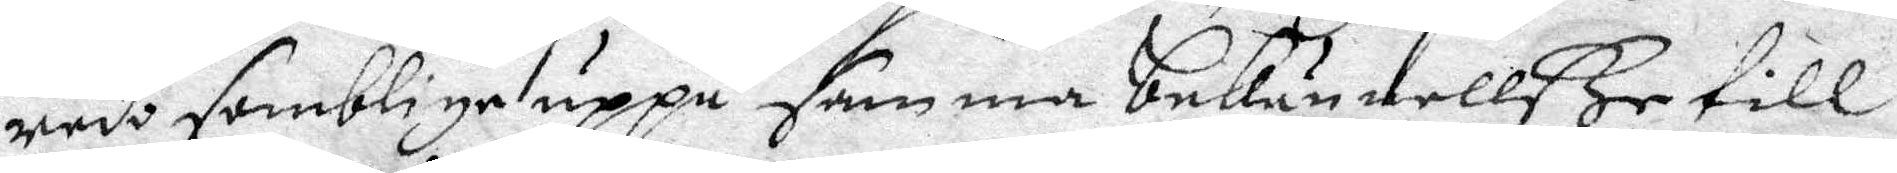redo samblige uppå samma bekännellße till
